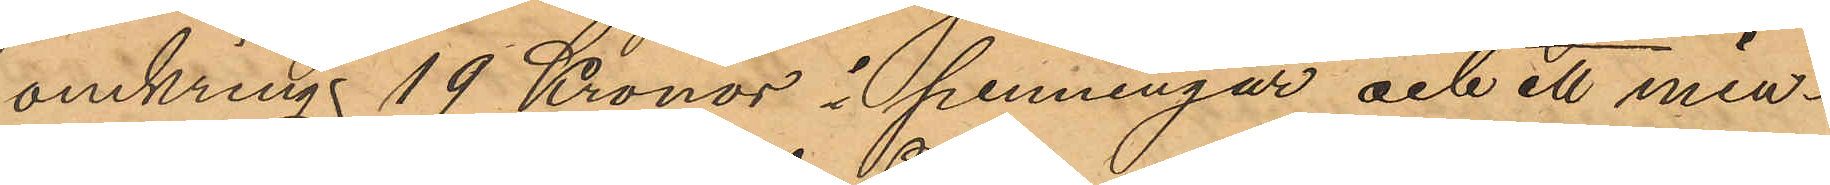omkrings 19 Kronor i penningar och ett min¬
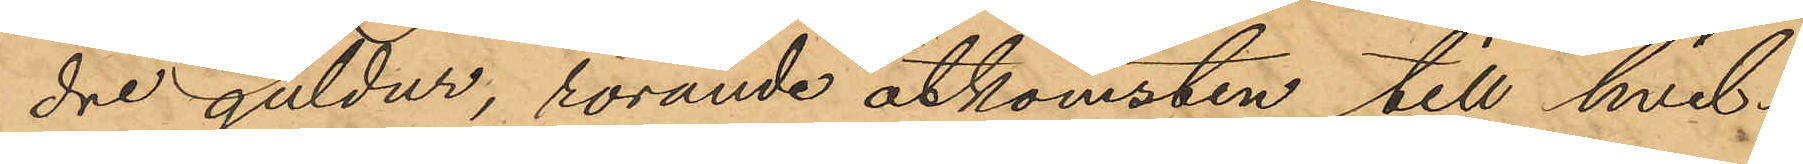dre guldur, rörande åtkomsten till hvil¬
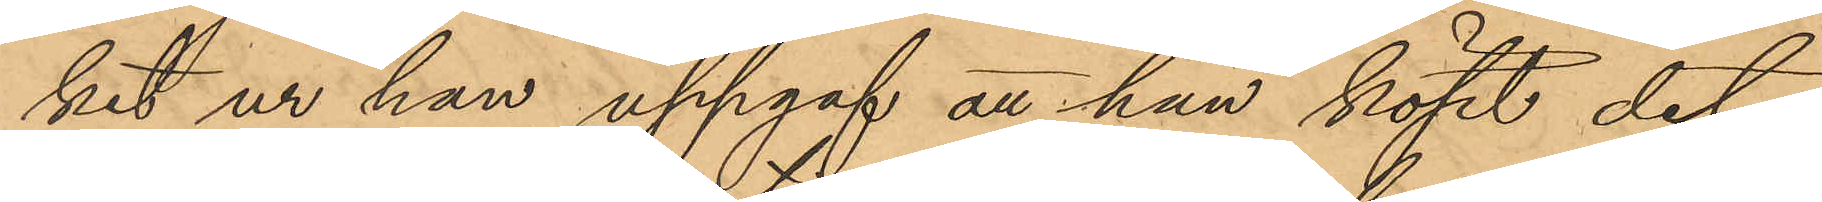ket ur han uppgaf att han köpt det¬
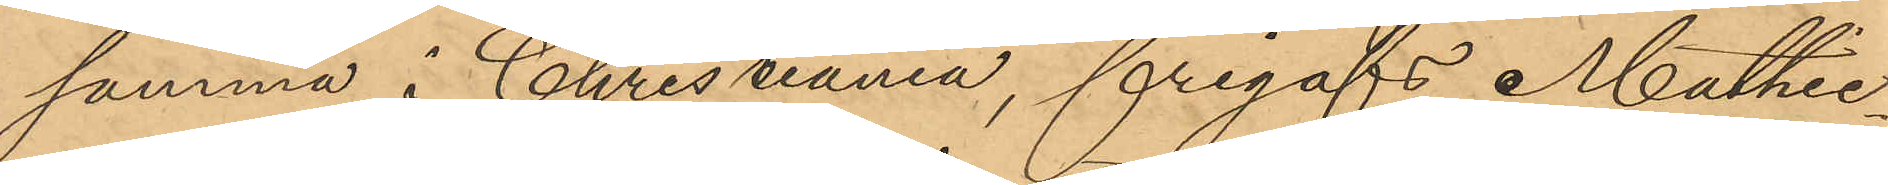samma i Christiania, frigafs Mathie¬
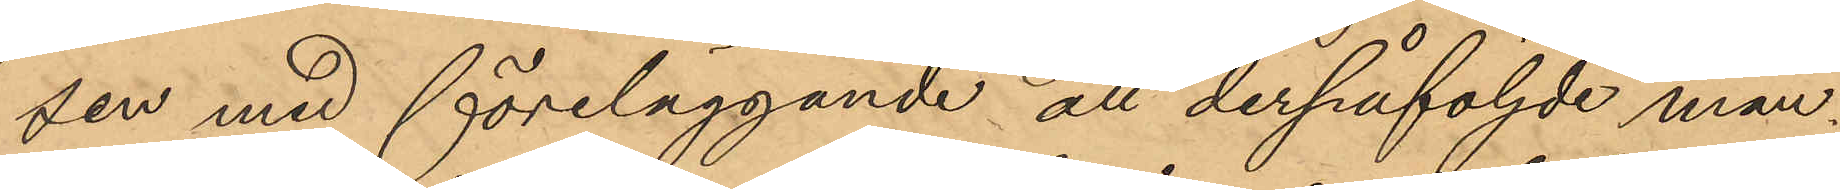sen med föreläggande att derpåföljde mån¬
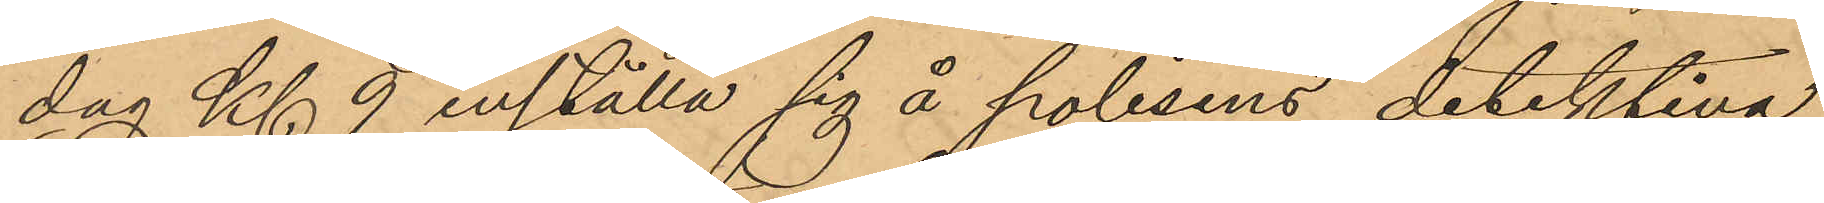dag Kl 9 inställa sig å polisens detektiva
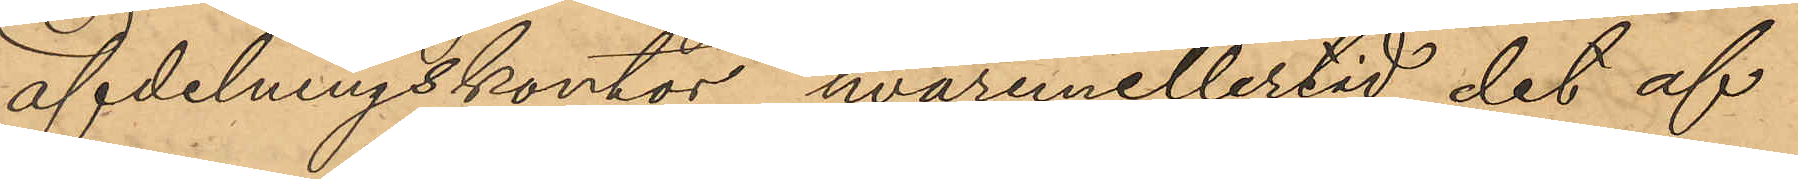afdelningskontor, hvarmellertid det af
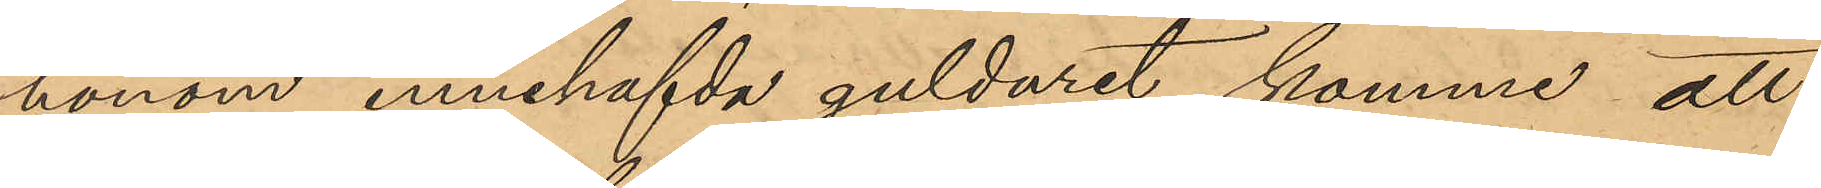honom innehafvda gulduret komme att
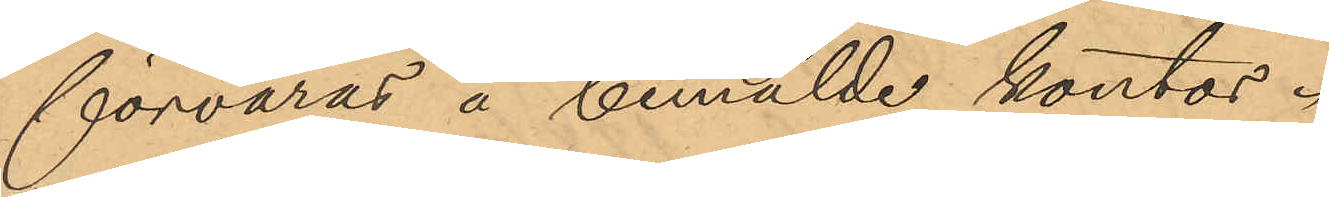förvaras å bemälde kontor.
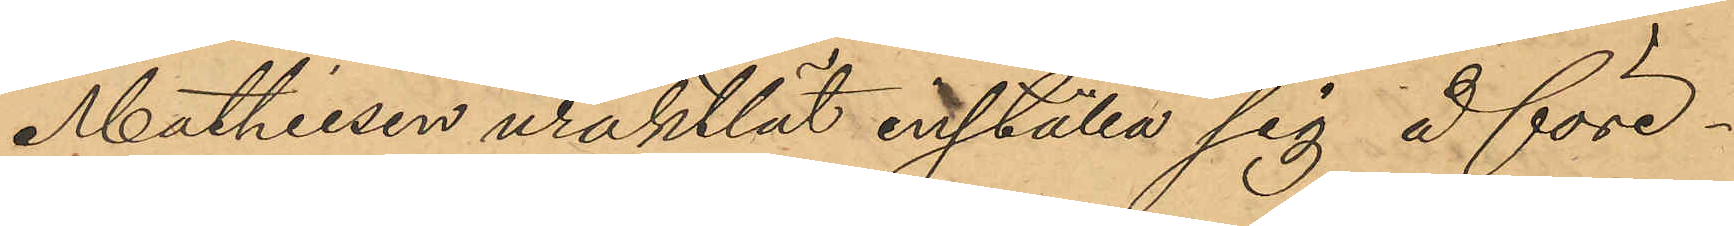Mathiesen uraktlät inställa sig å före¬
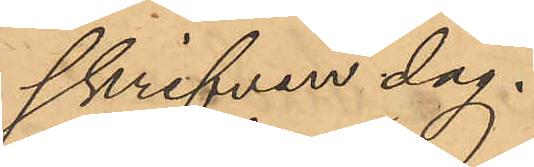skrifven dag.
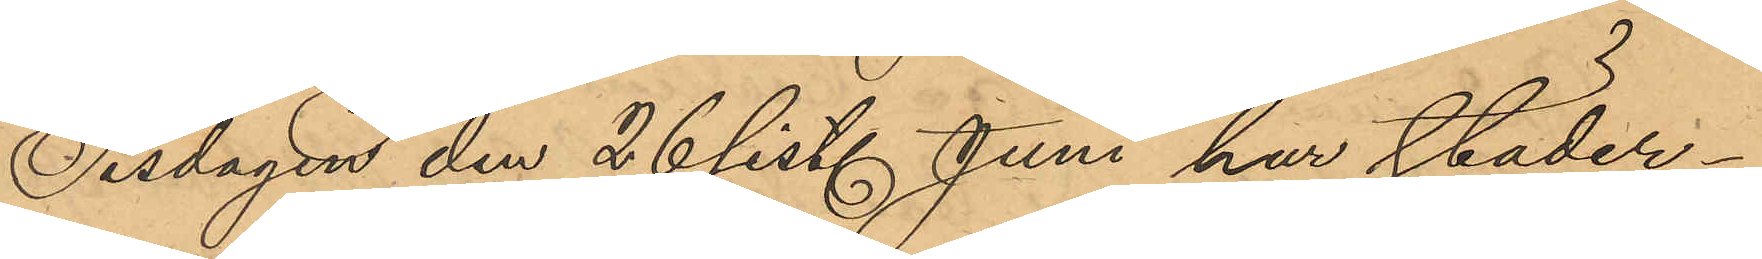Tisdagen den 26 sist. Juni har städer¬
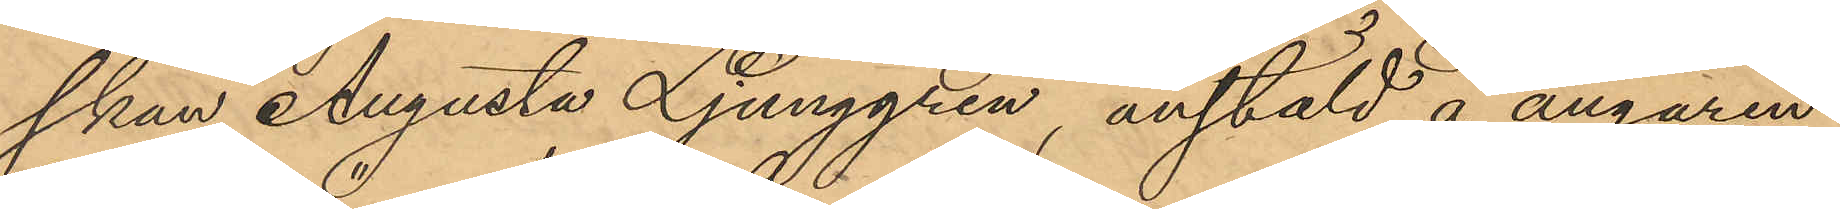skan Augusta Ljunggren, anstäld å ångaren
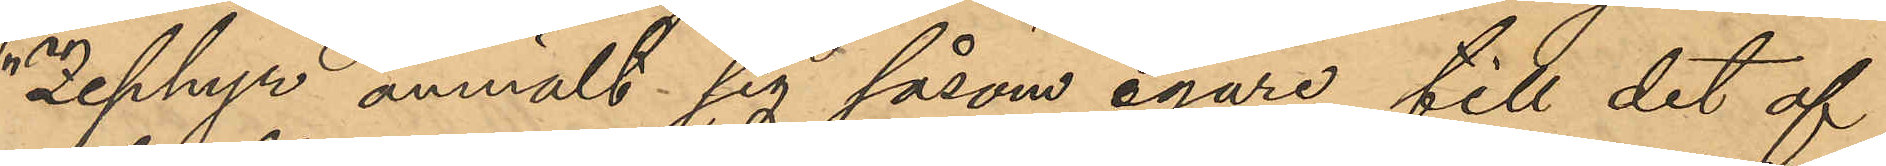"Zephyr" anmält sig såsom egare till det af
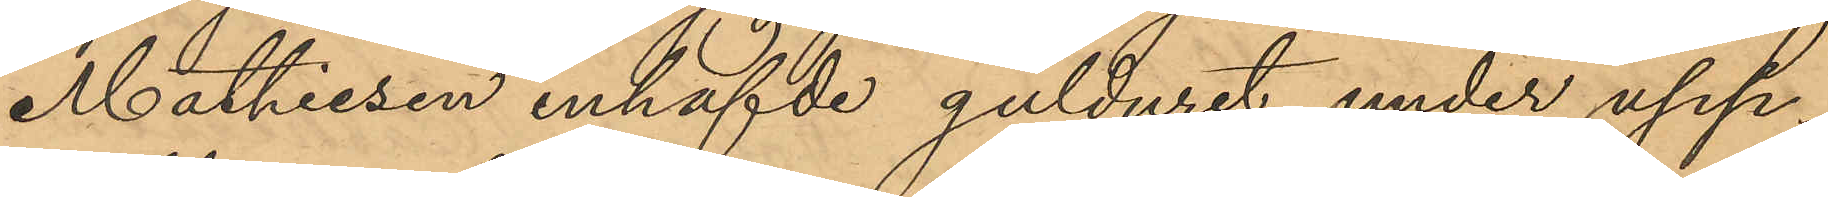Mathiesen inhafvde gulduret under upp¬
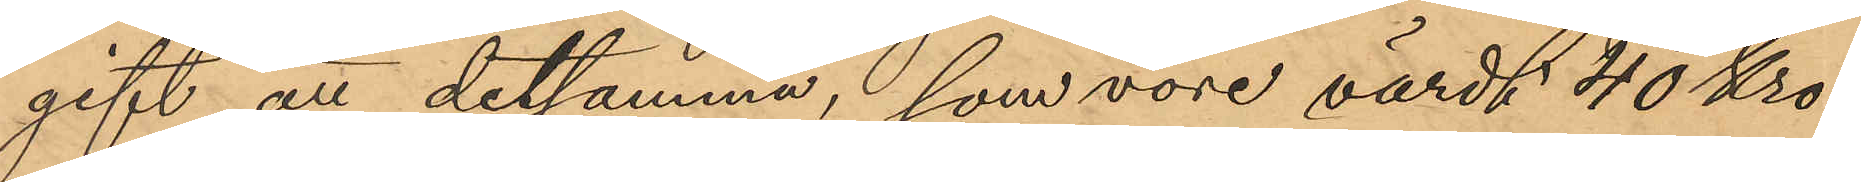gift att detsamma, som vore värdt 40 Kro¬
